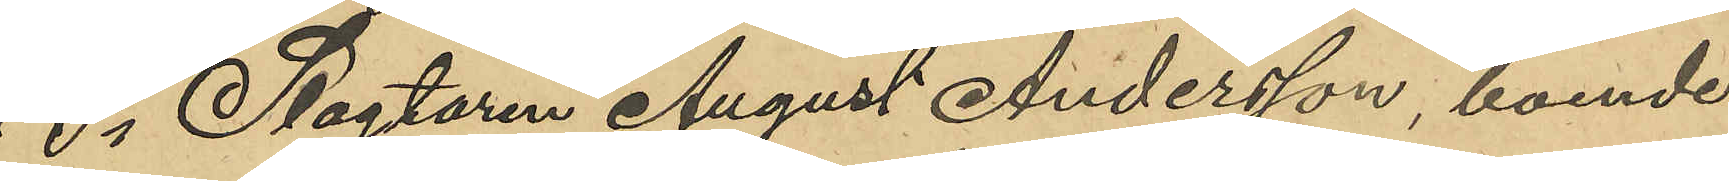3o Slagtaren August Andersson, boende i
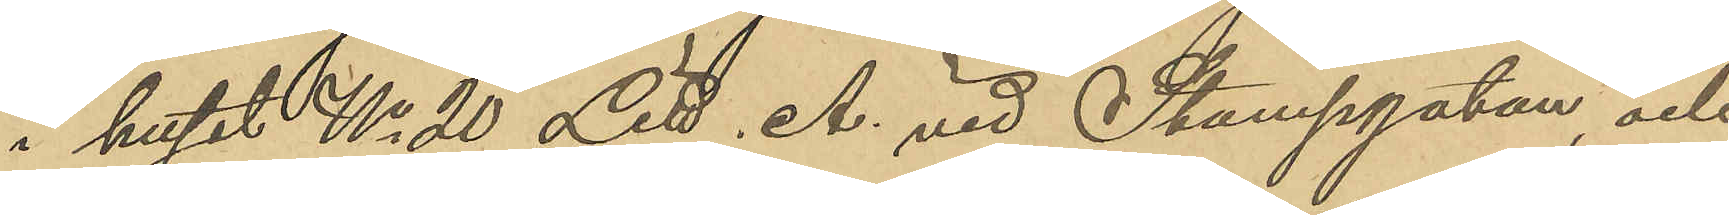huset No 20 Litt. A vid Stampgatan, och
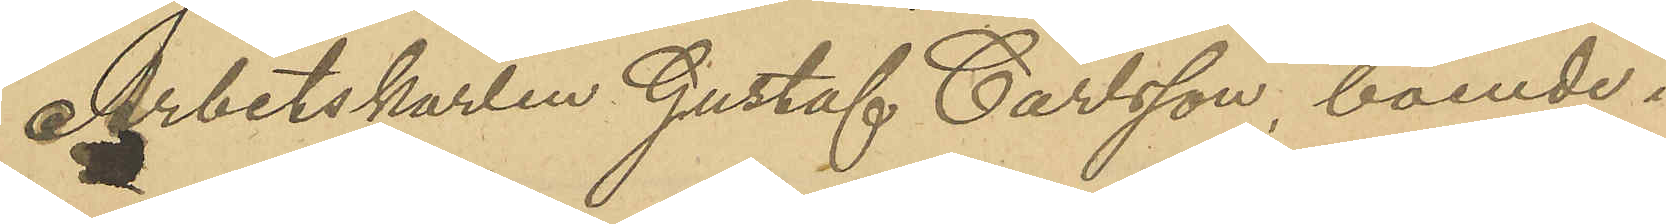Arbetskarlen Gustaf Carlsson, boende i
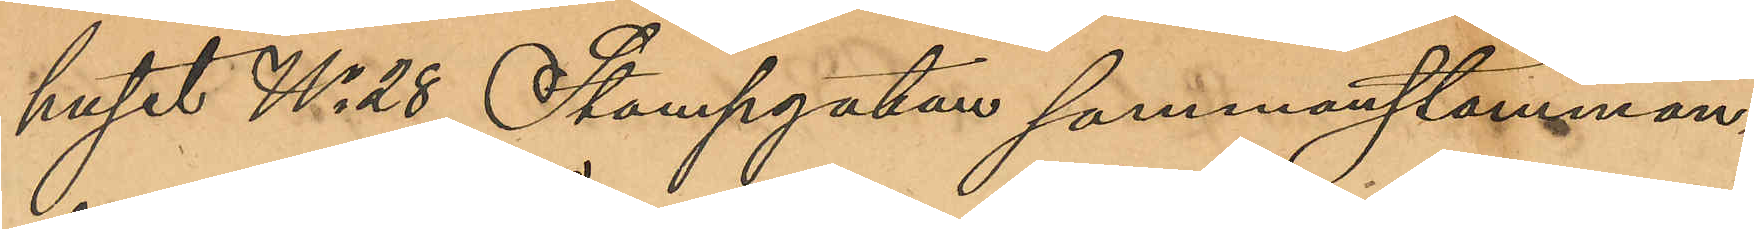huset No 28 Stampgatan sammanstämman¬
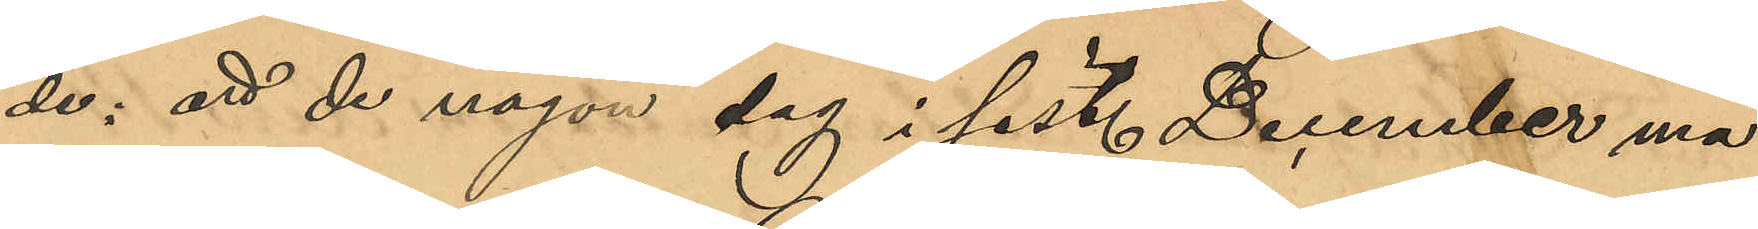de; att de någon dag i sist. December må¬
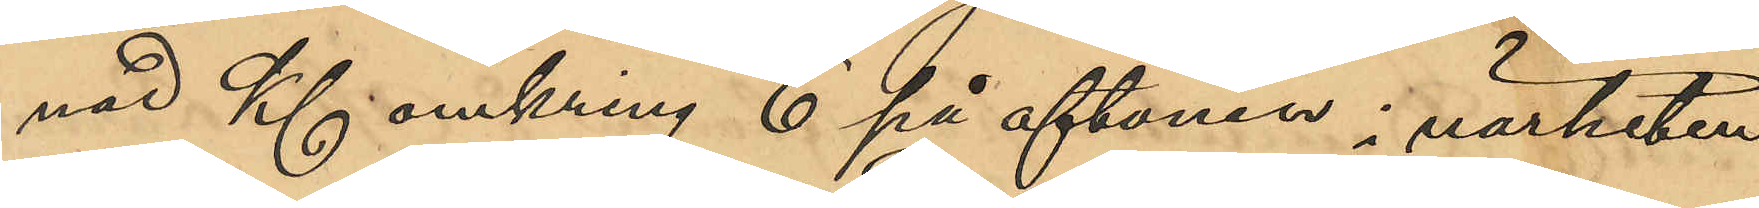nad Kl omkring 6 på aftonen i närheten
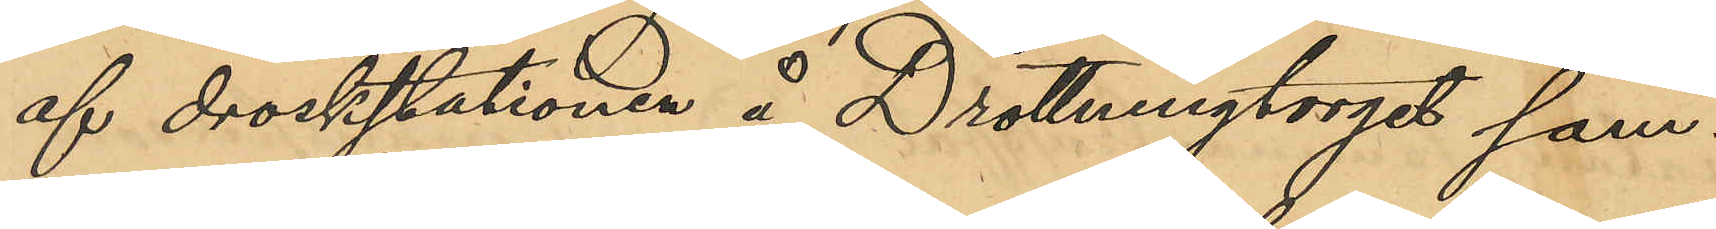af droskstationen å Drottningtorget sam¬
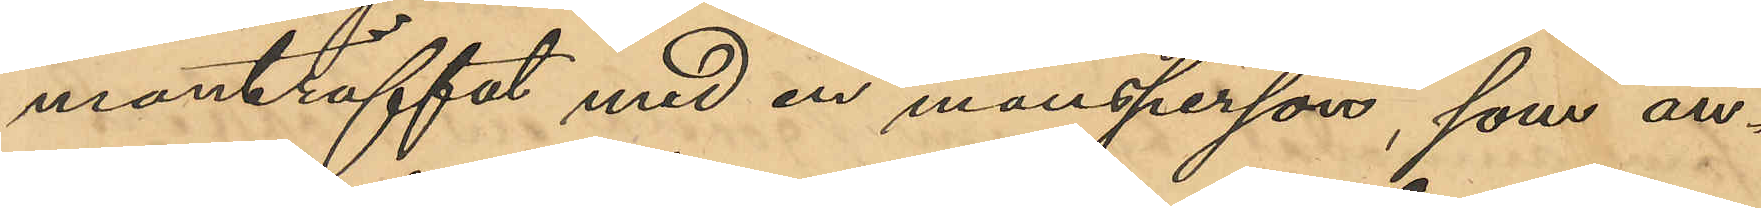manträffat med en mansperson, som an¬
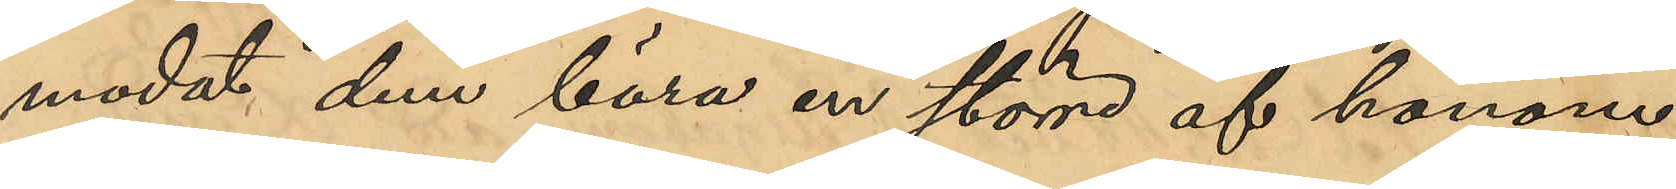modat dem bära en större af honom
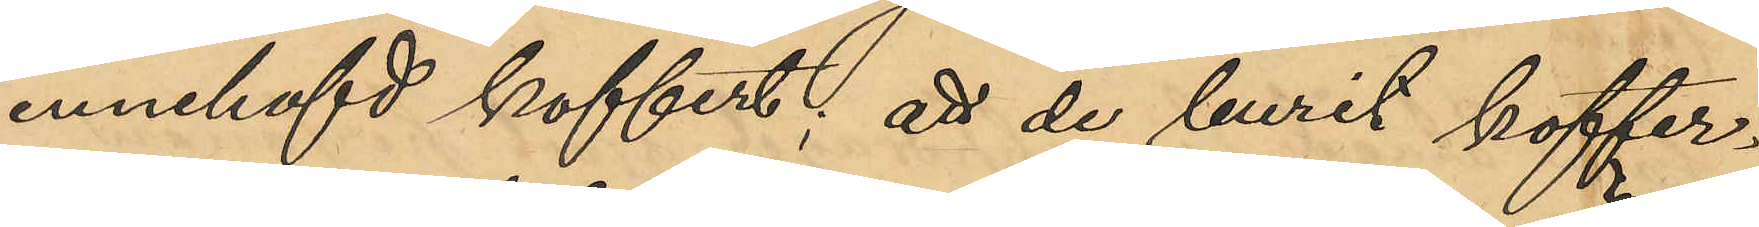innehafd koffert; att de burit koffer¬
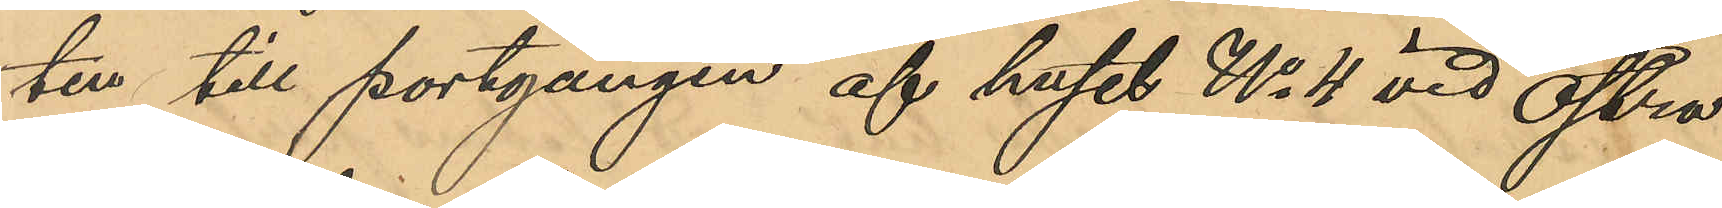ten till portgången af huset No 4 vid Östra
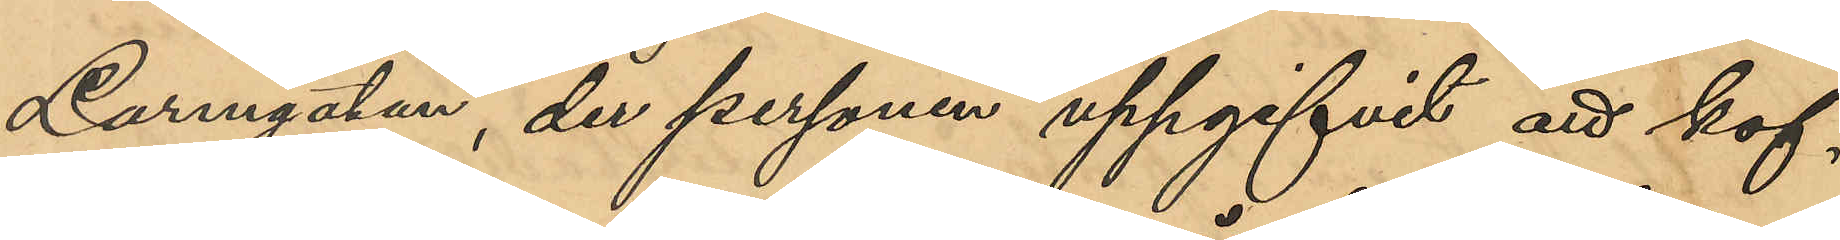Larmgatan, der personen uppgifvit att kof¬
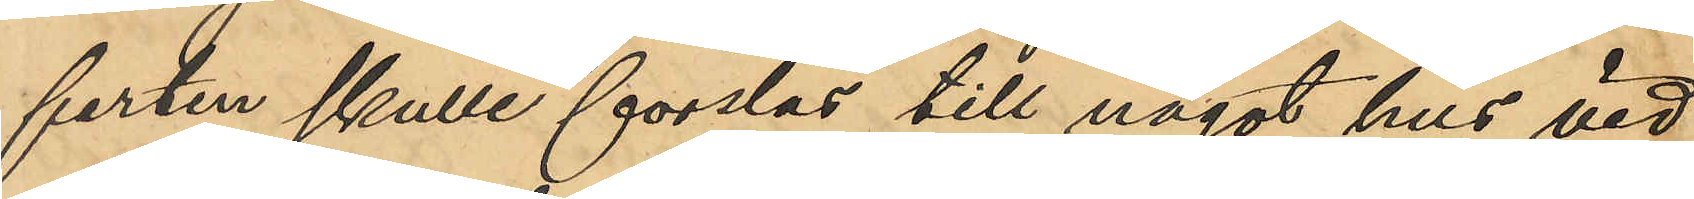ferten skulle forslas till något hus vid
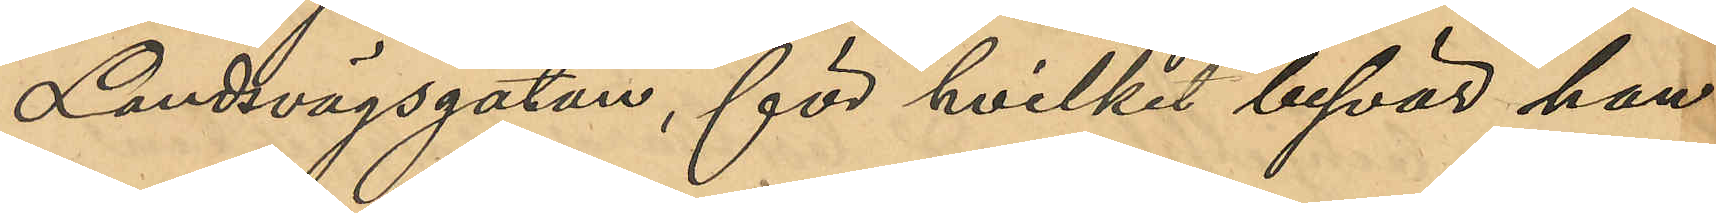Landsvägsgatan, för hvilket besvär han
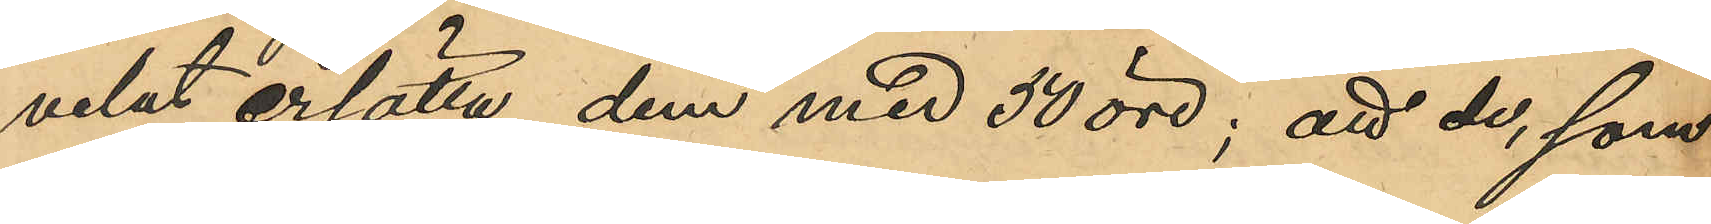velat ersätta dem med 50 öre; att de, som
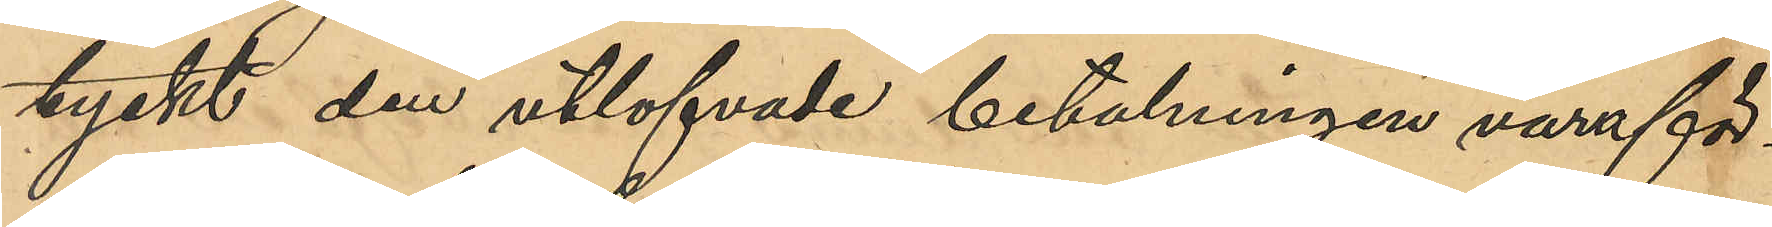tyckt den utlofvade betalningen vara för
